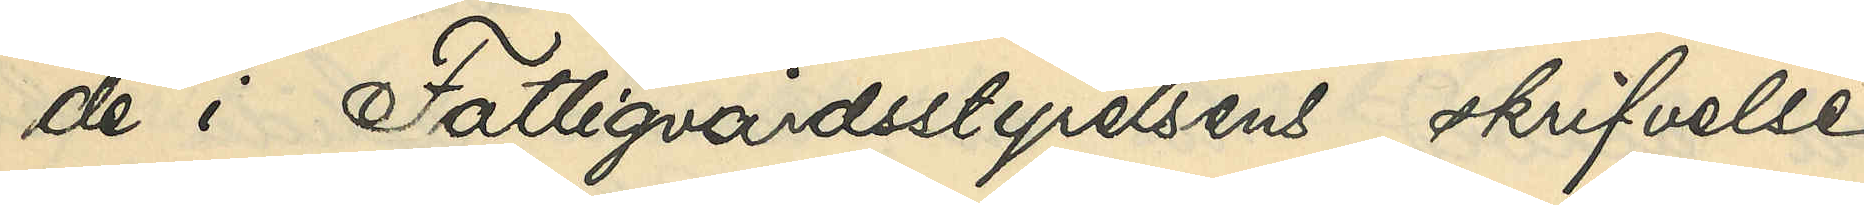de i Fattigvårdsstyrelsens skrifvelse
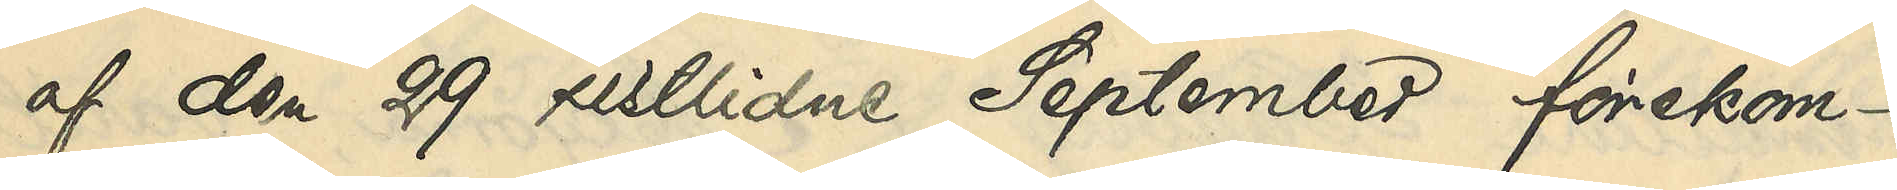af den 29 sistlidne September förekom¬
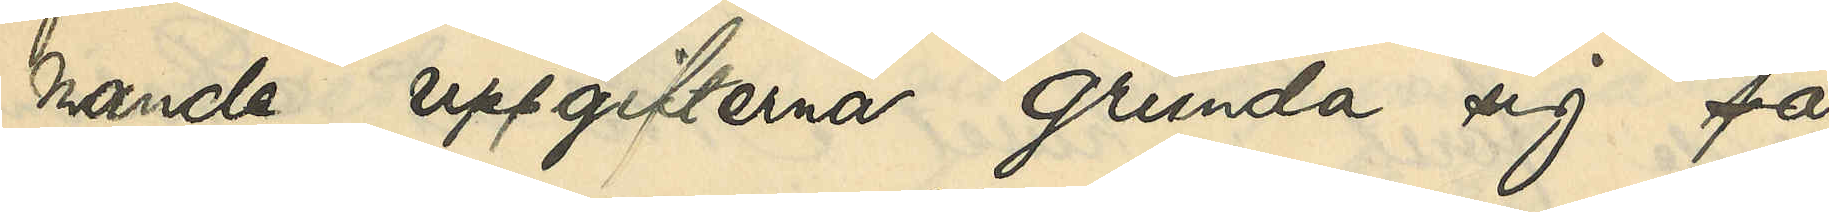mande uppgifterna grunda sig på
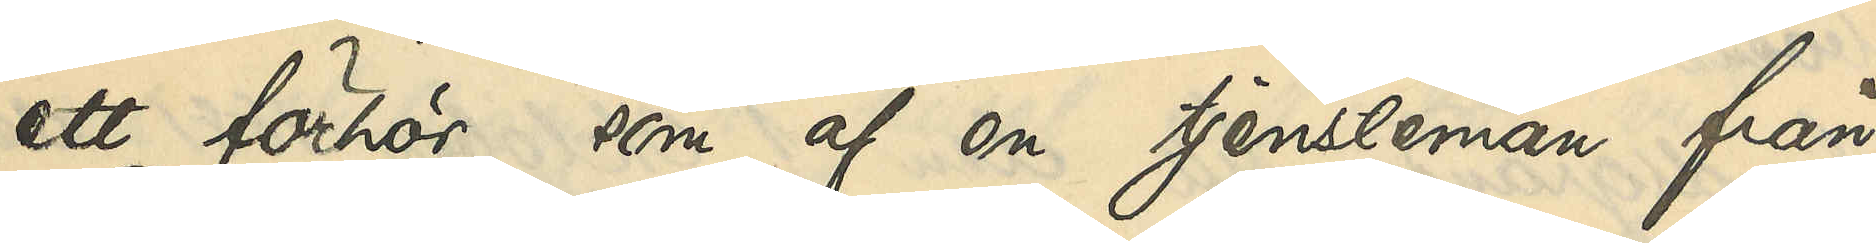ett förhör, som af en tjensteman från
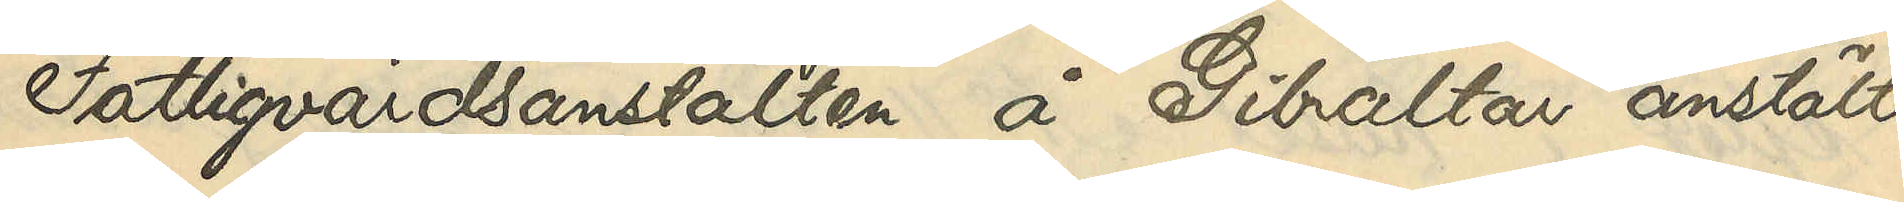Fattigvårdsanstalten å Gibraltar anstälts
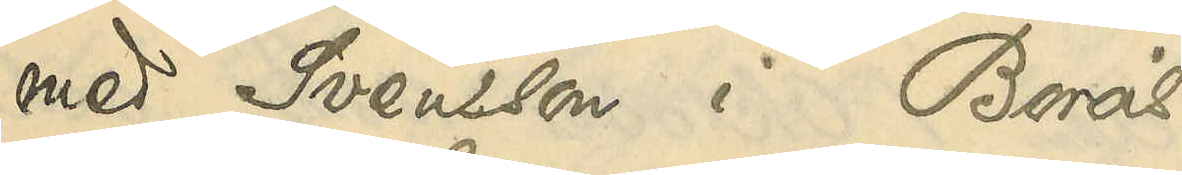med Svensson i Borås.
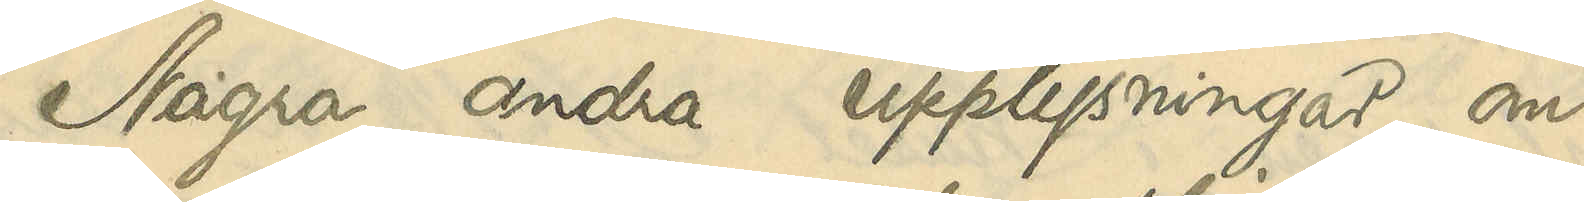Några andra upplysningar om
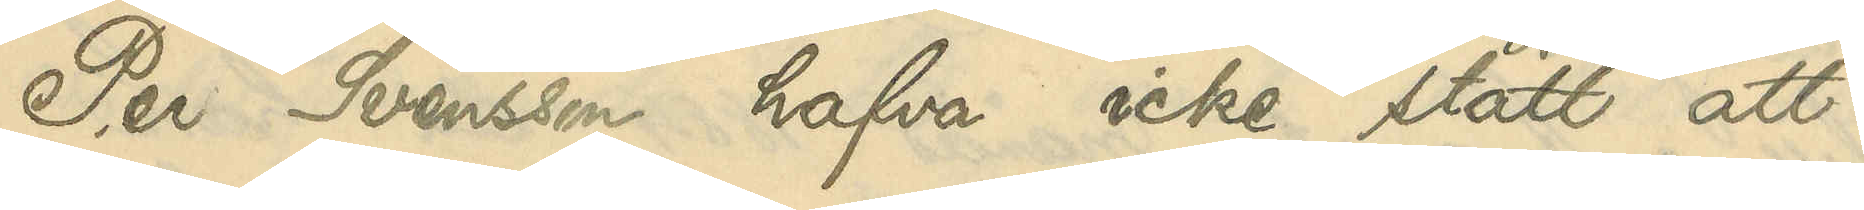Per Svensson hafva icke stått att
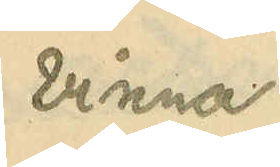vinna.
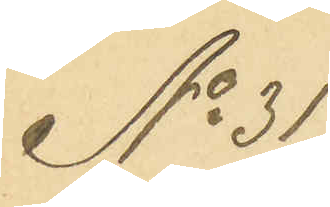No 31
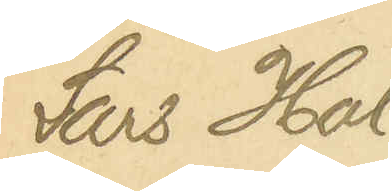Lars Hols¬
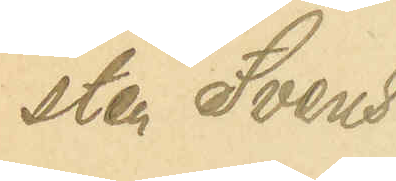sten Svens¬
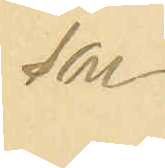son
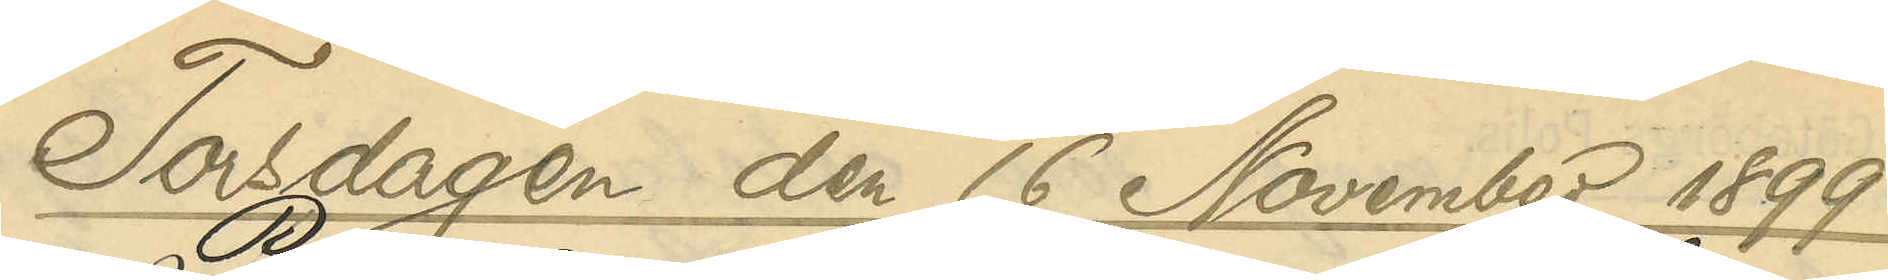Torsdagen den 16 November 1899
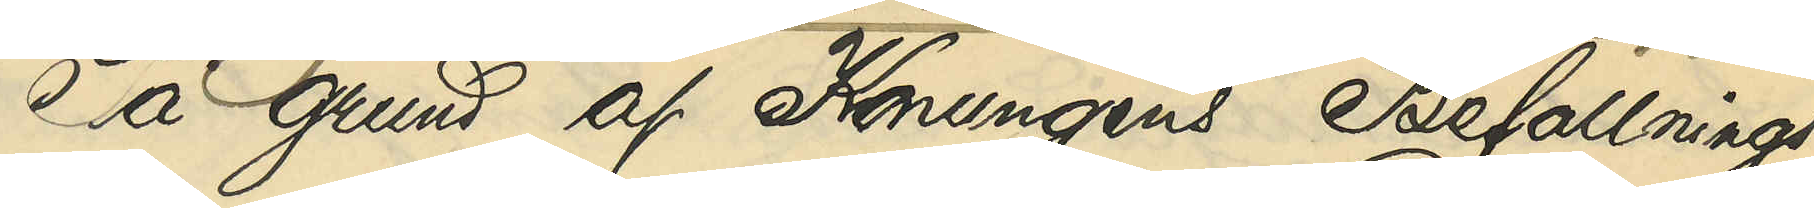På grund af Konungens Befallnings¬
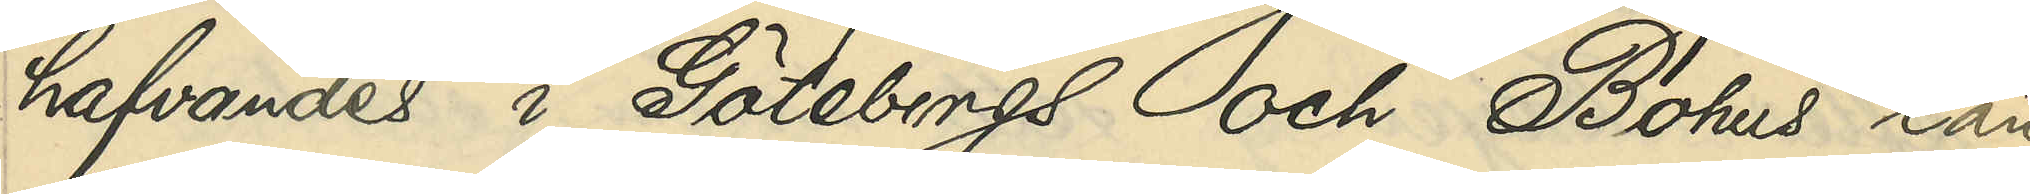hafvandes i Göteborgs och Bohus län
